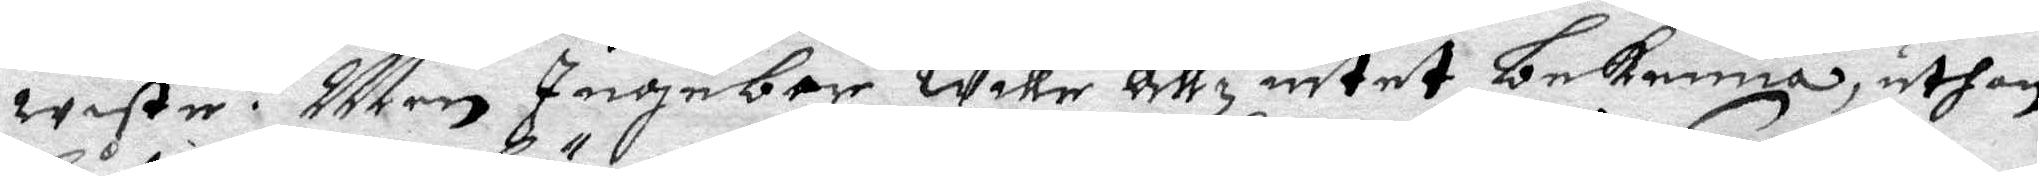wiste. Men Ingebor wille allz intet bekenna uthan
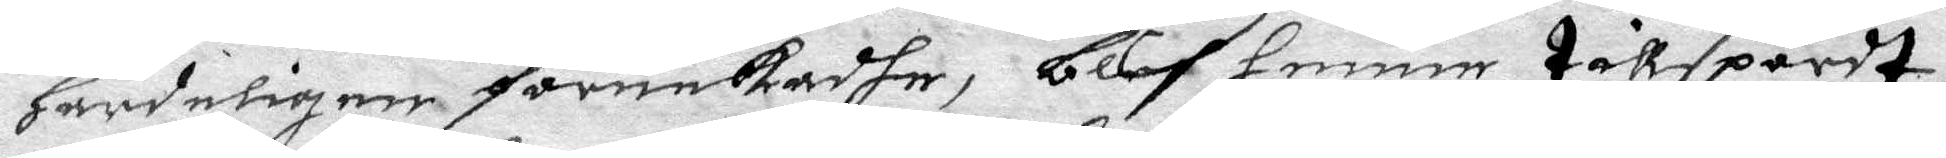Hårdeligen förnekadhe, blef henne tillspordt
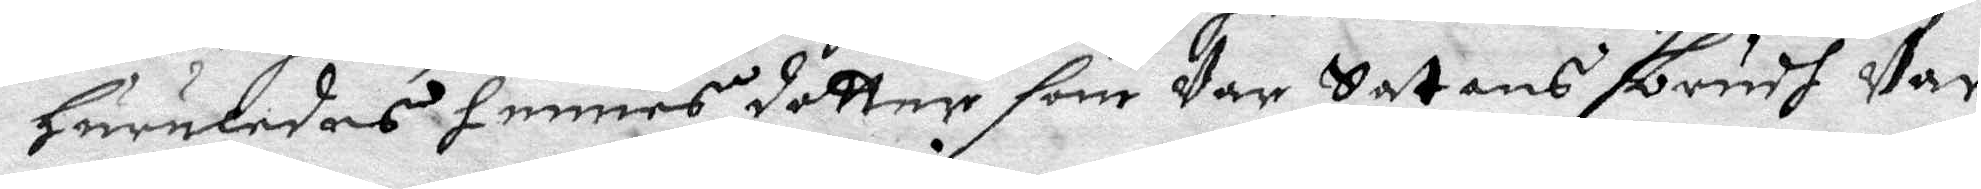Huruledes hennes dotter som Var Satans bundh Var
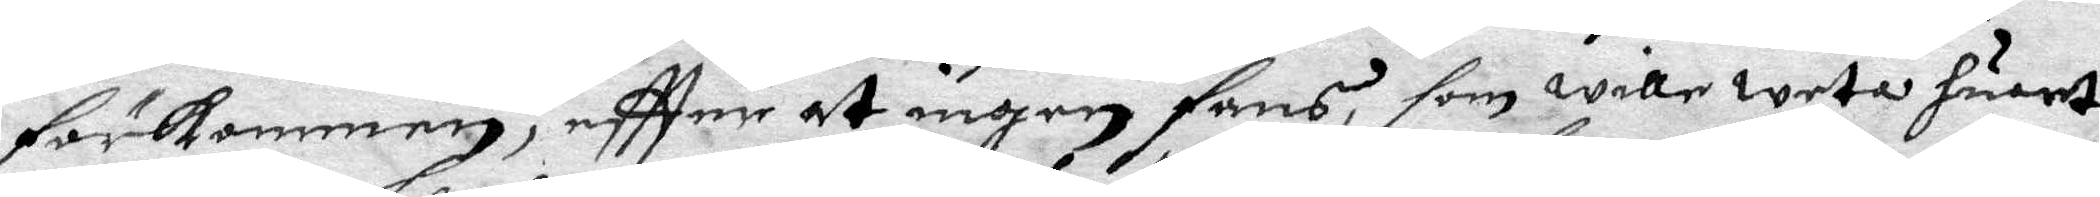förlommen, eftter at ingen fans, som willeweta huart
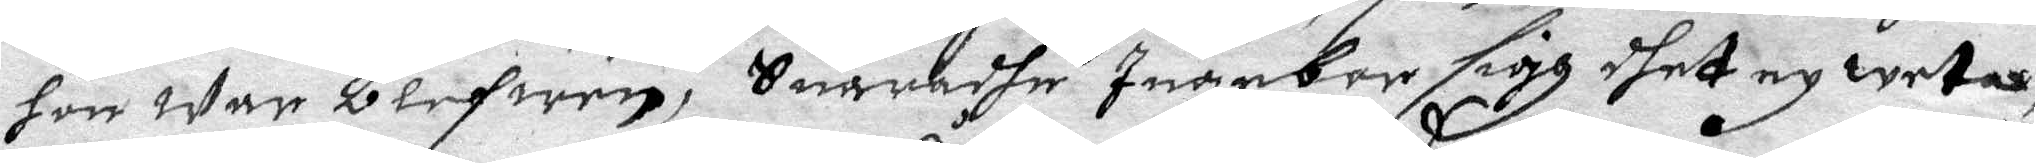hon war blefwen, Suaradhe Ingebor sigh dhet ey weta,
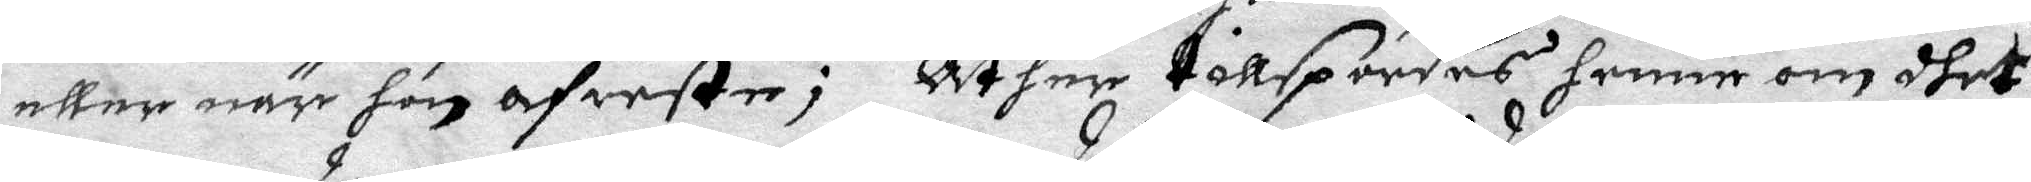eller när hon afreste; Åther tillspordes henne om dhet
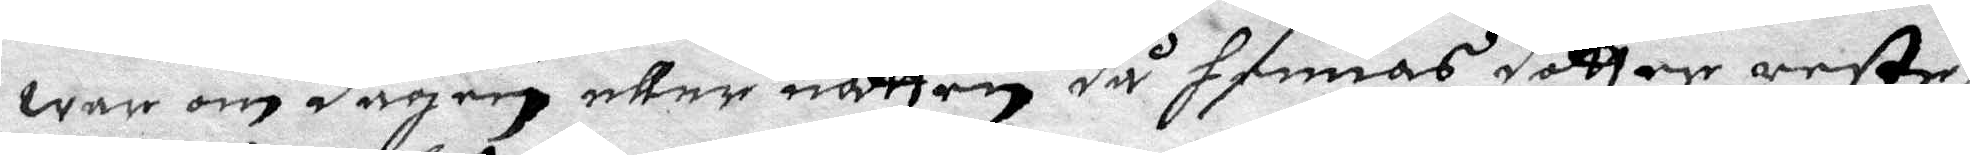war om dagen eller natten då hennes dotter reste,
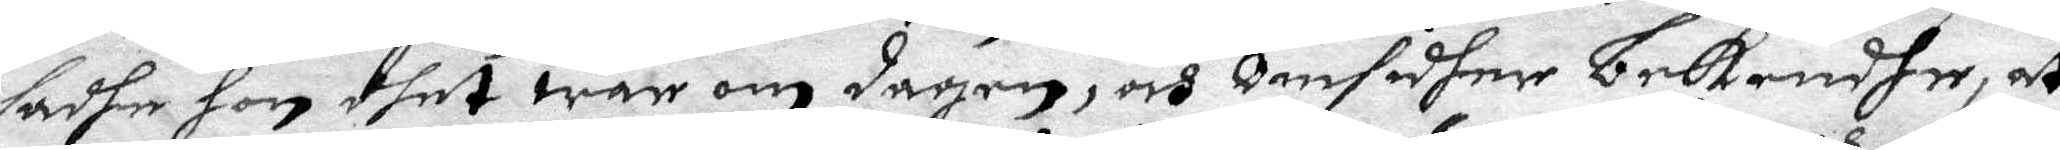sadhe hon dget war om dagen, ocg omsidher bekendhe, at
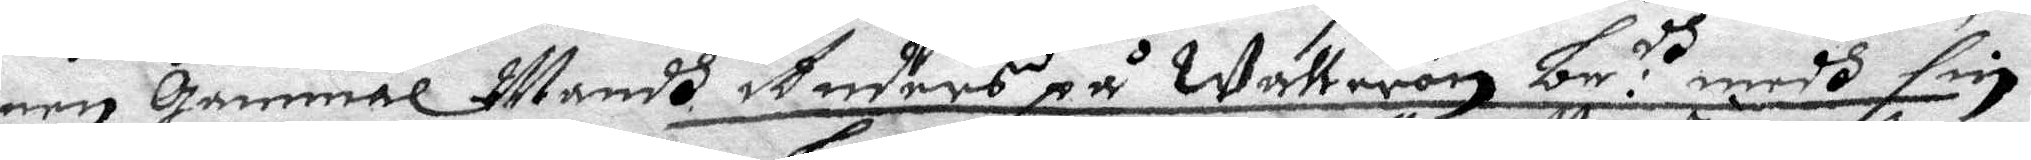een Gammal Mandh Anders på Wallerön be:dh medh sin
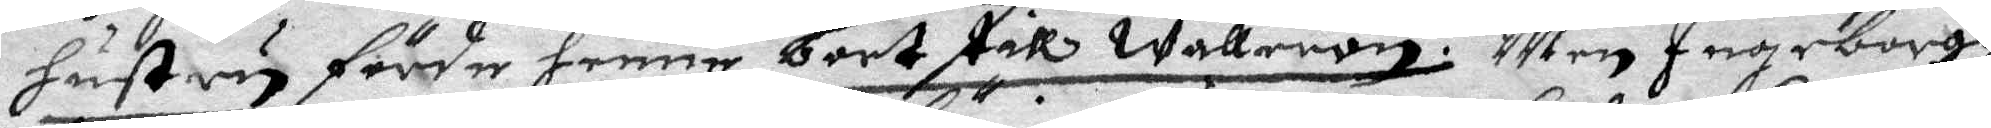hustru förde henne bort till Wallerön. Men Ingeborgh
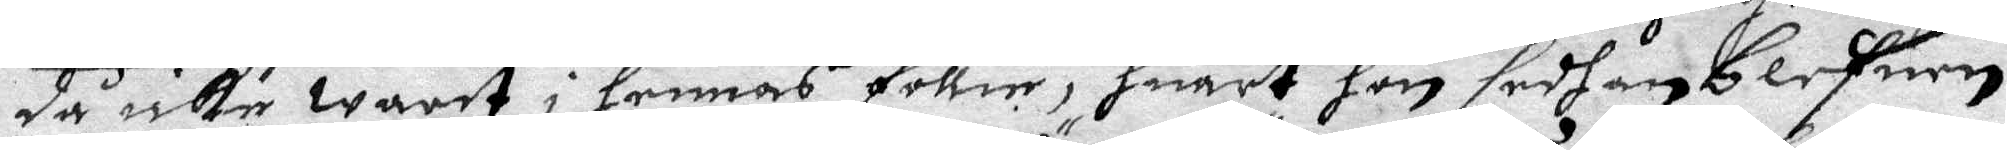då icke warit i hennes föllie, huart hon sedhan blefwen
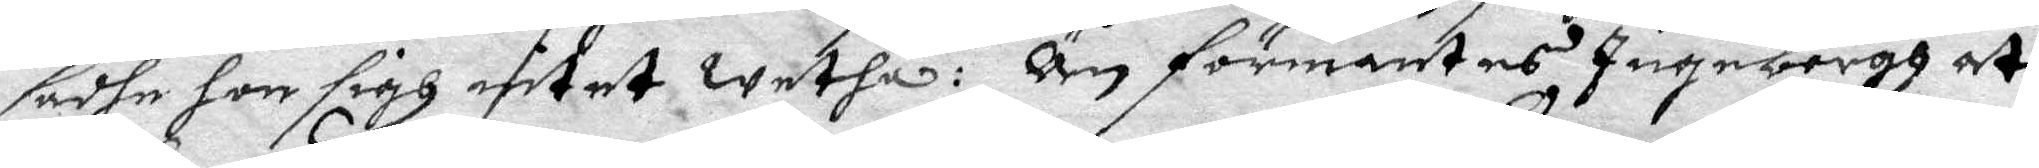sadhe hon sigh intet wetha: Än förmantes Ingeborgh at
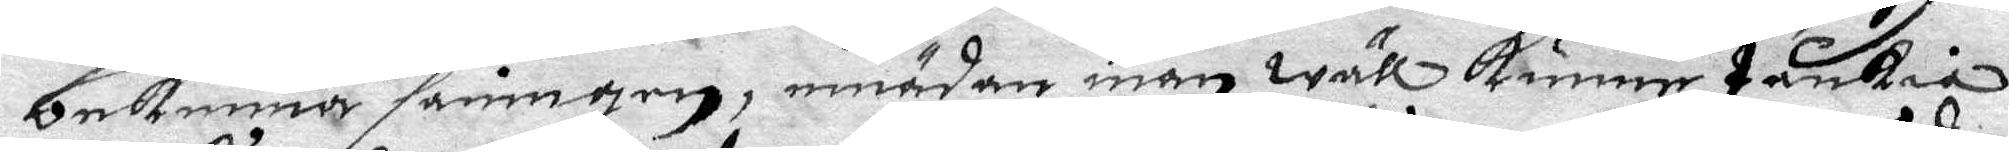bekenna sanningen, emädan man wäll kunne tänkia
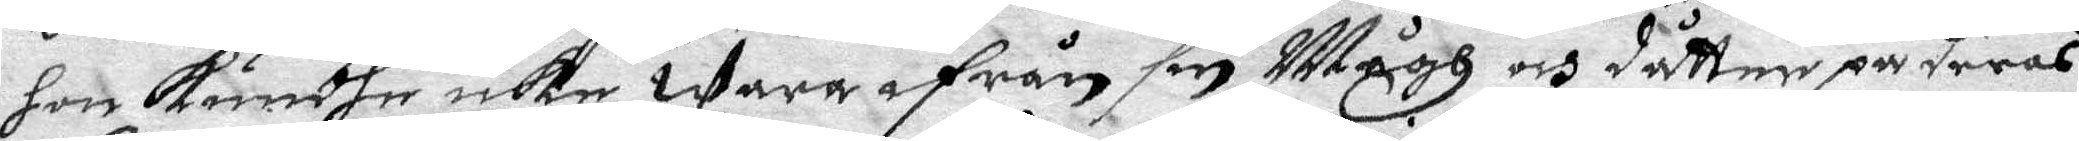hon kundhe icke wara ifrån sin Mågh och dotter på deras
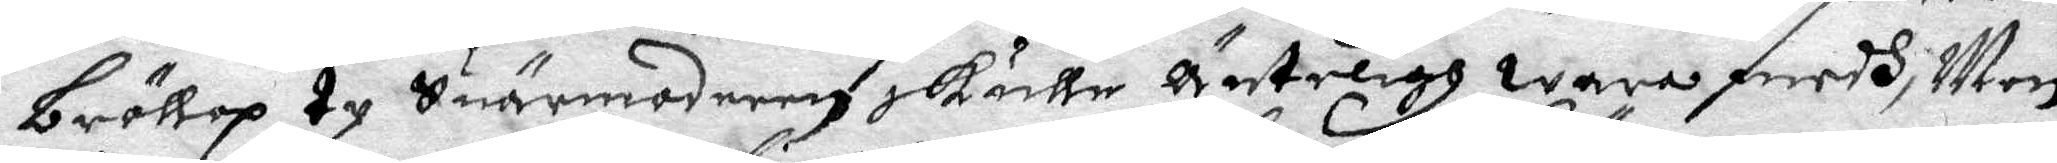bröllop ty Suärmodern skulle Änteligh wara medh, Men
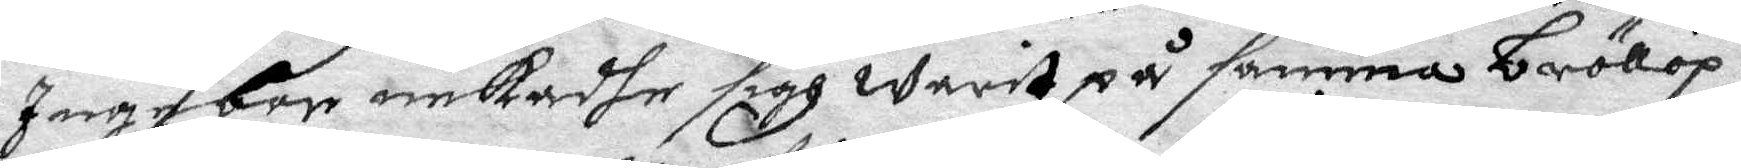Ingebor nekadhe sigh warit på samma bröllop.
